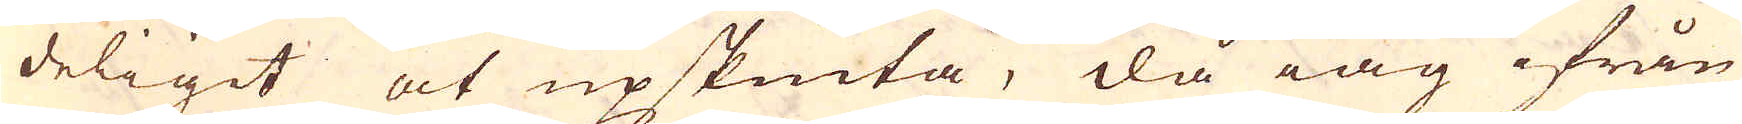deligit at upskiuta, då iag ifrån
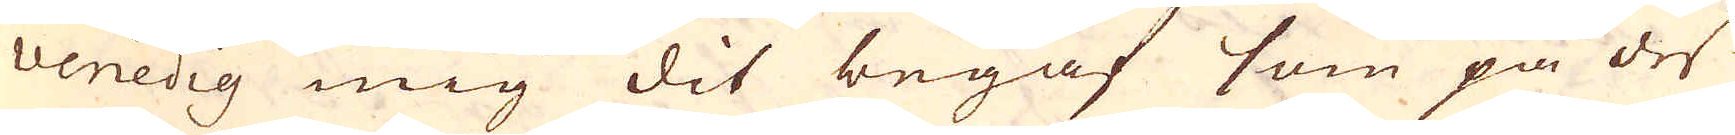 Venedig mig dit begaf som på des
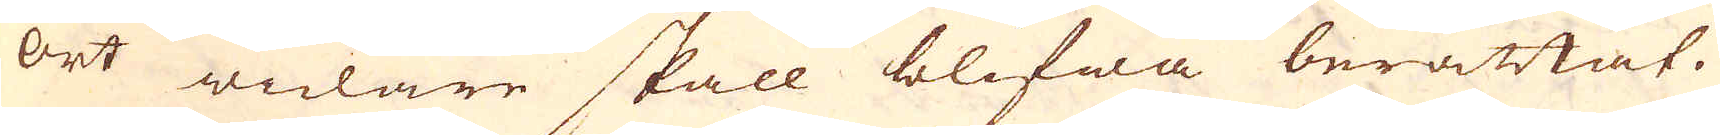ort widare skall blifwa berättat.
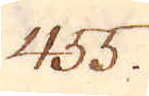455.
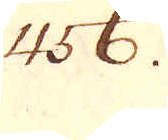456.
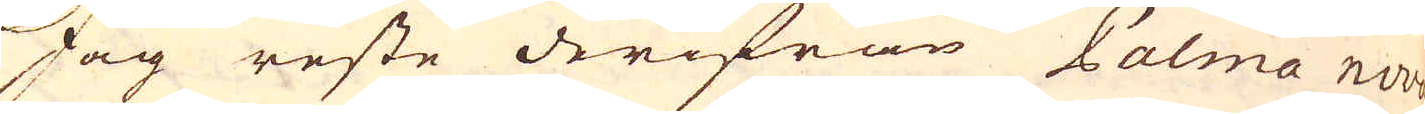Jag reste derifrån Palma nova
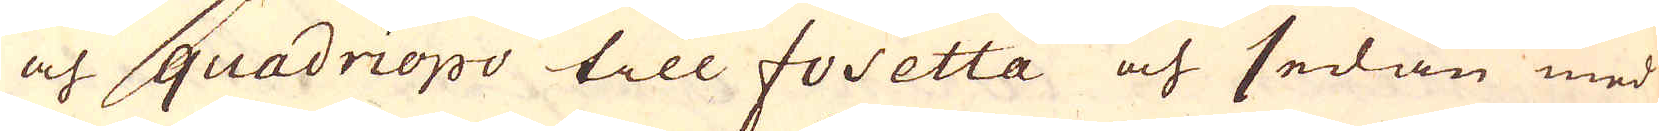och quadriopo till fosetta och sedan med
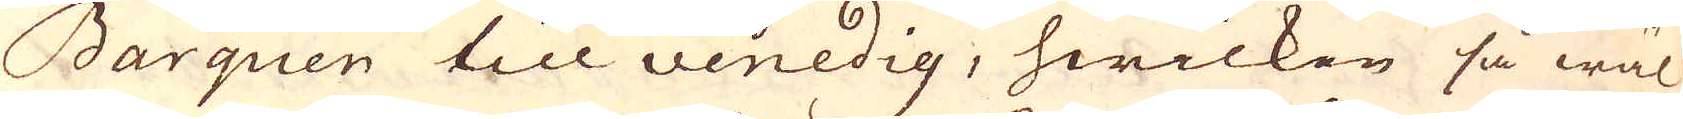Barquen till venedig, hwilken så wäl
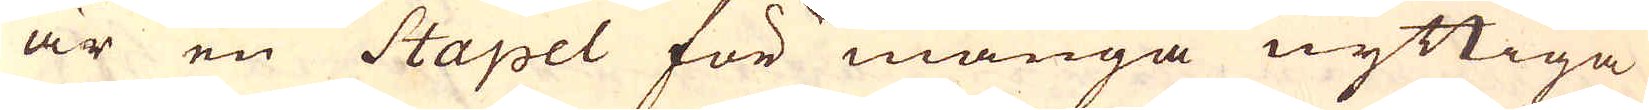är en Stapel för många nyttiga
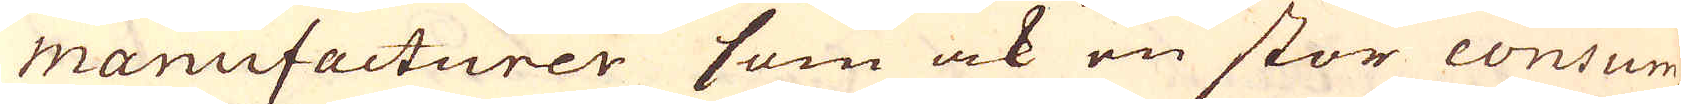manufacturer som ock en stor consum-
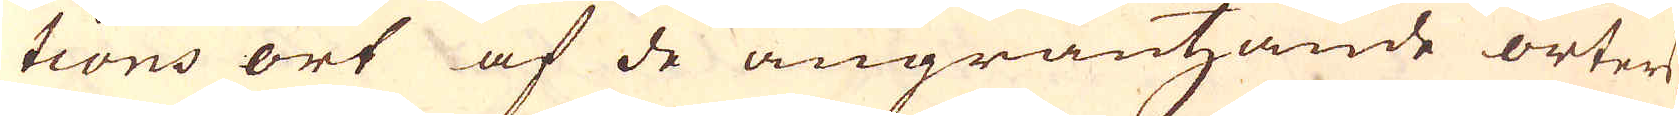tions ort af de angräntzande orters
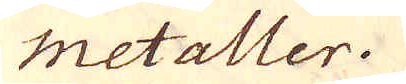Metaller.
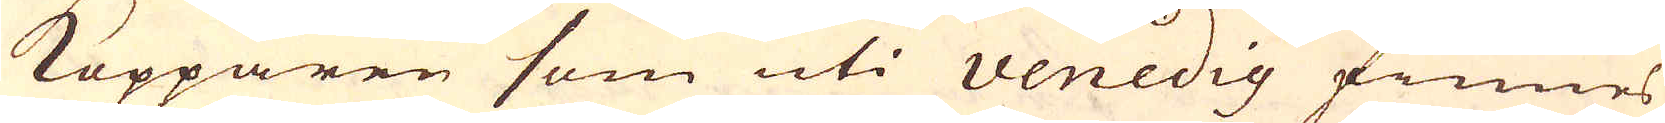Kopparen som uti venedig finnes
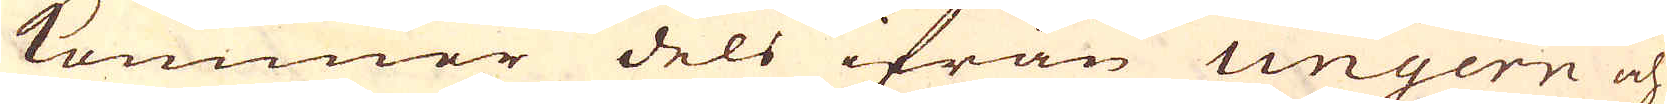kommer dels ifrån Ungern och
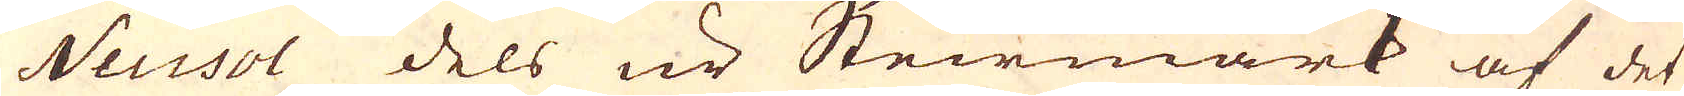Neusol dels ur Steirmark af det
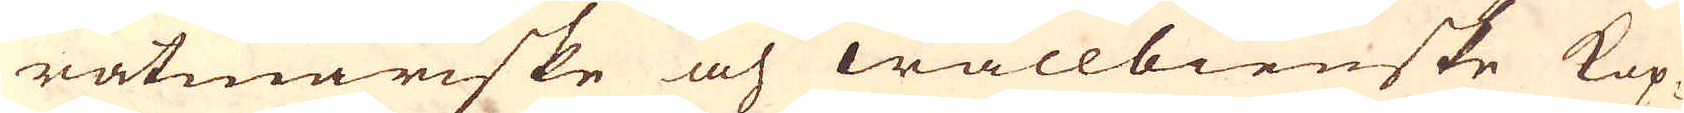ratmariske och wallbienske Kop-
